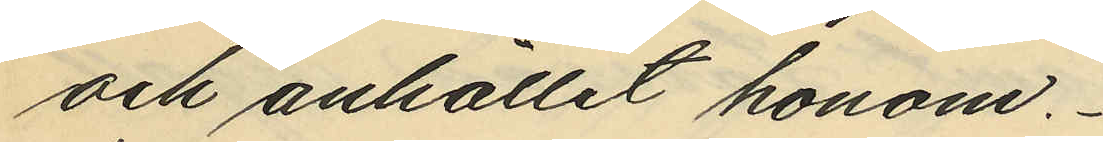och anhållit honom.
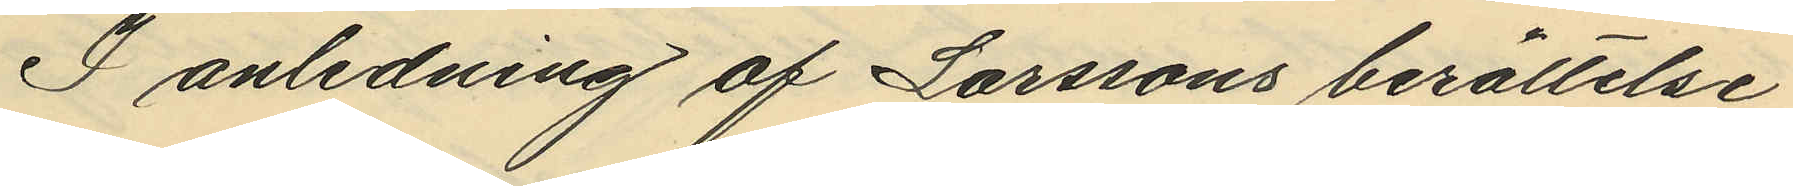I anledning af Larssons berättelse
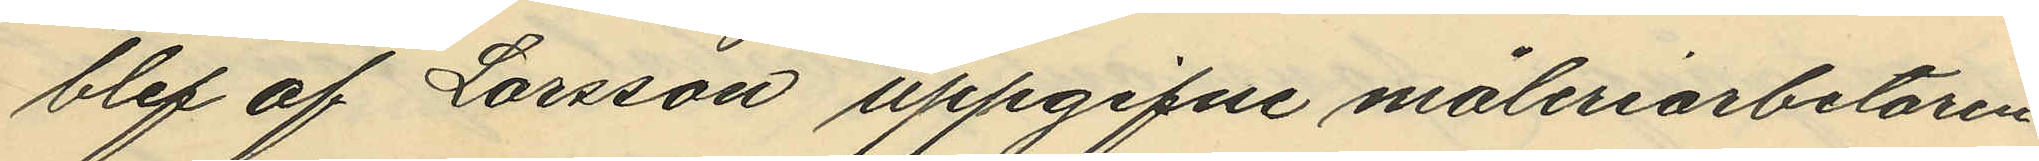blef af Larsson uppgifne måleriarbetaren
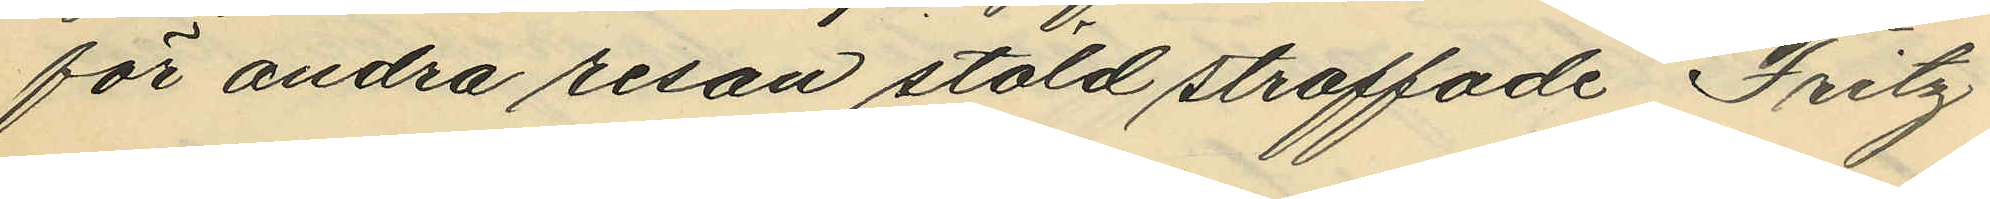för andra resan stöld straffade Fritz
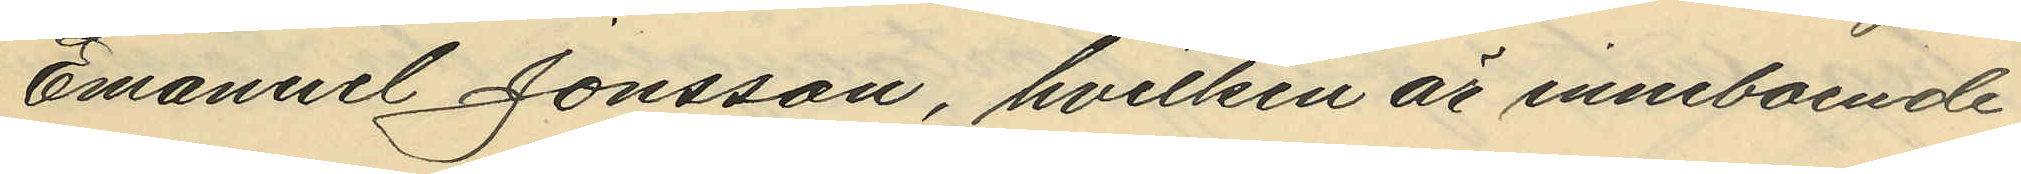Emanuel Jonsson, hvilken är inneboende
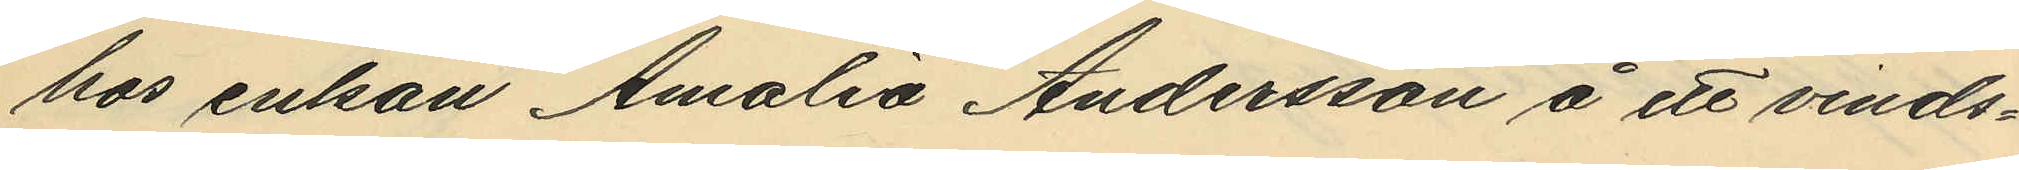hos enkan Amalia Andersson å ett vinds¬
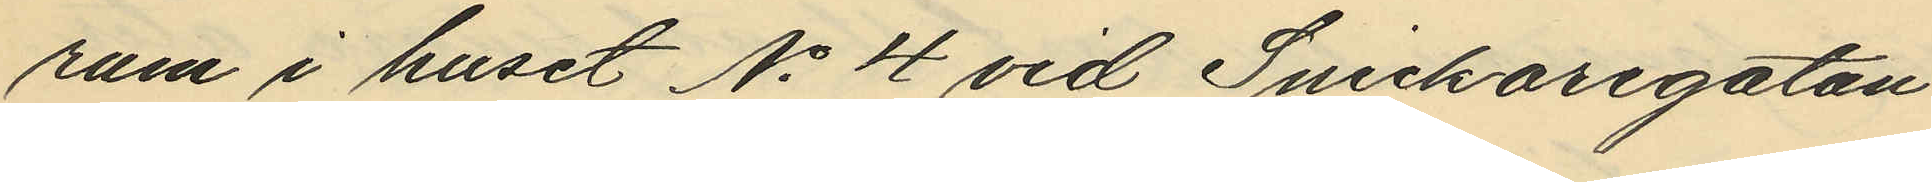rum i huset No 4 vid Snickaregatan
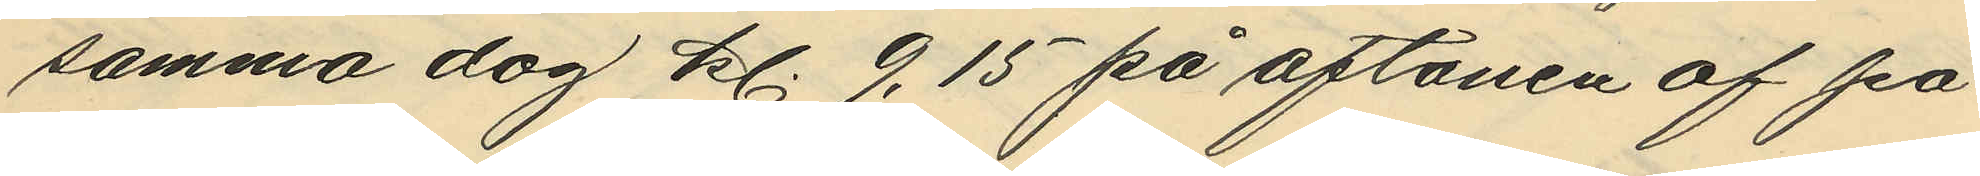samma dag kl. 9,15 på aftonen af po¬
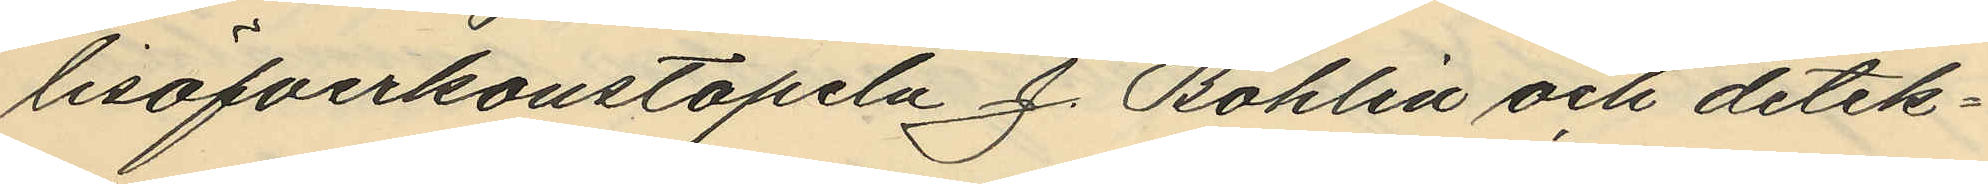lisöfverkonstapeln J. Bohlin och detek¬
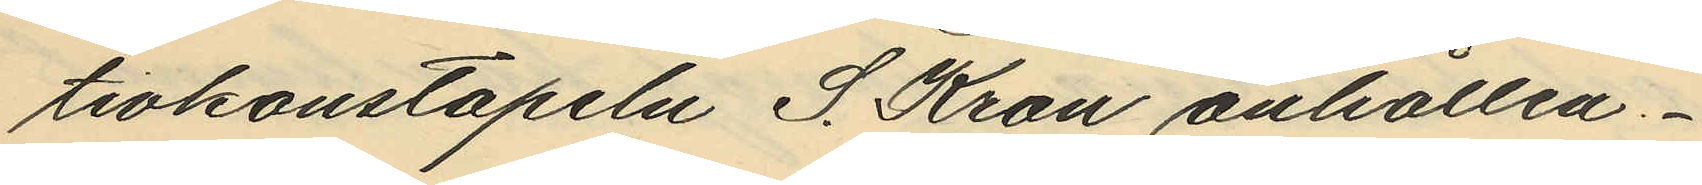tivkonstapeln S. Kron anhållen.
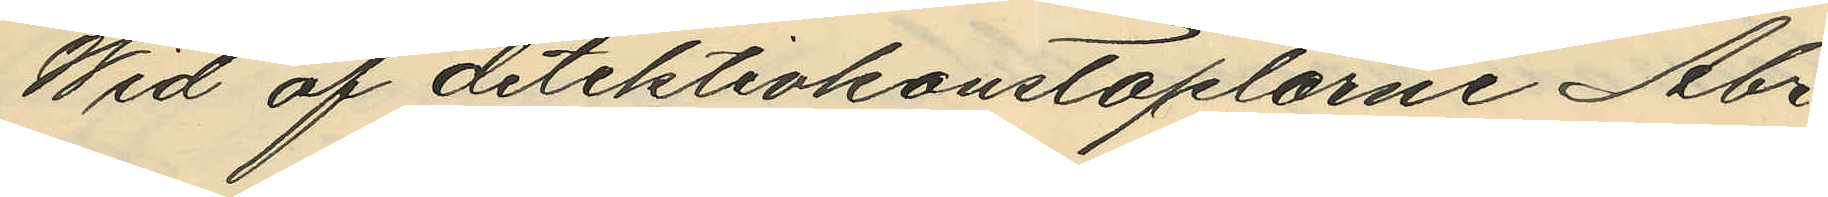Wid af detektivkonstaplarne Abr.
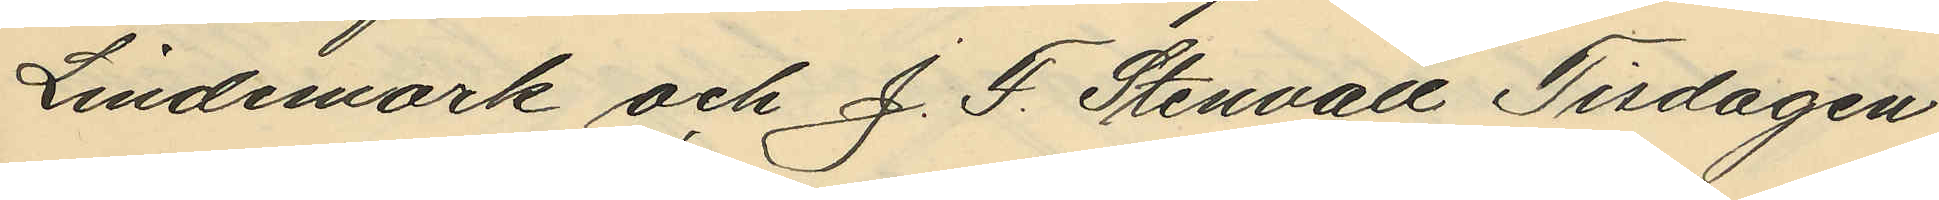Lindemark och J. F. Stenvall Tisdagen
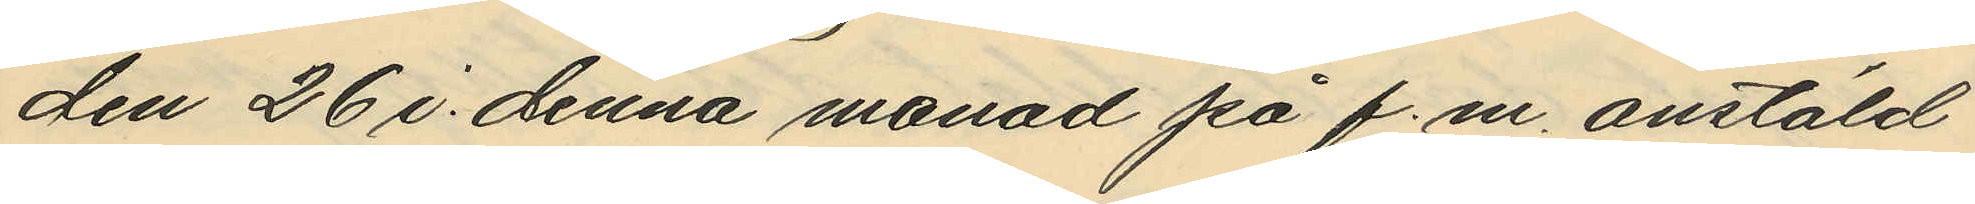den 26 i denna månad på f.m. anstäld
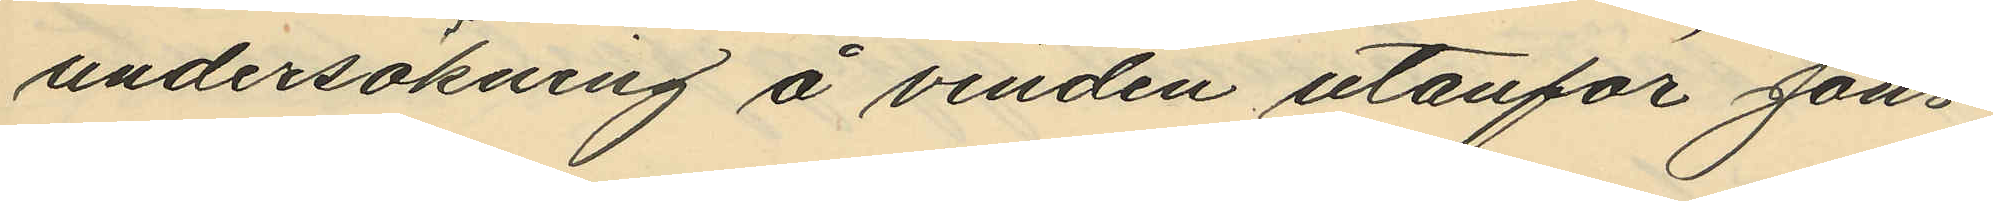undersökning å vinden utanför Jons¬
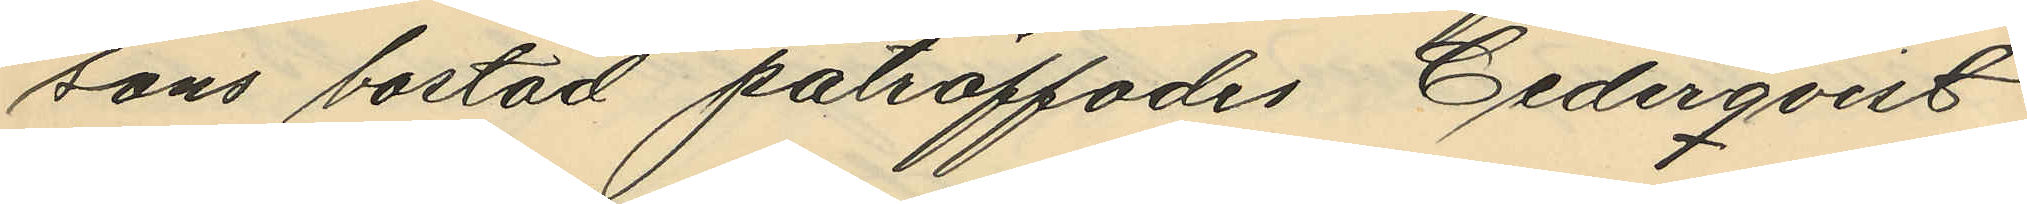sons bostad påträffades Cederqvists
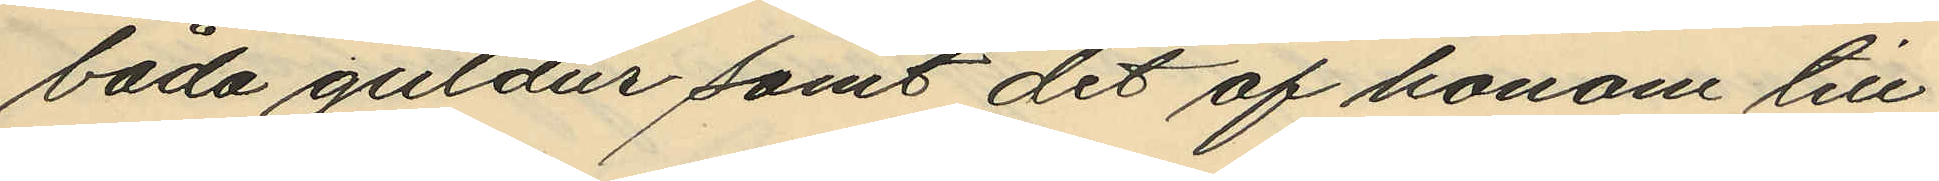båda guldur samt det af honom till
